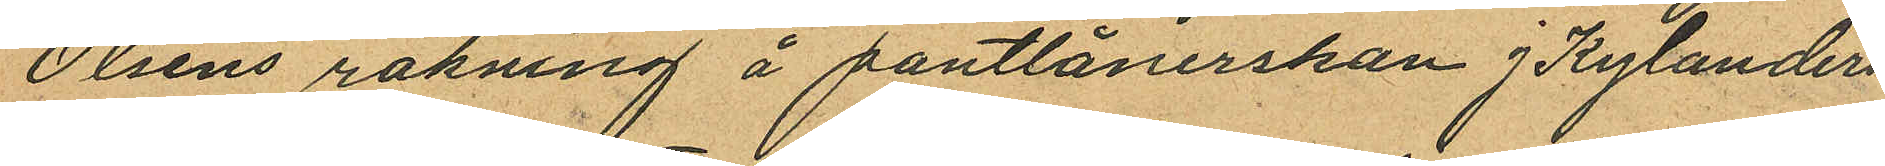Olsens räkning å pantlånerskan J Kylanders
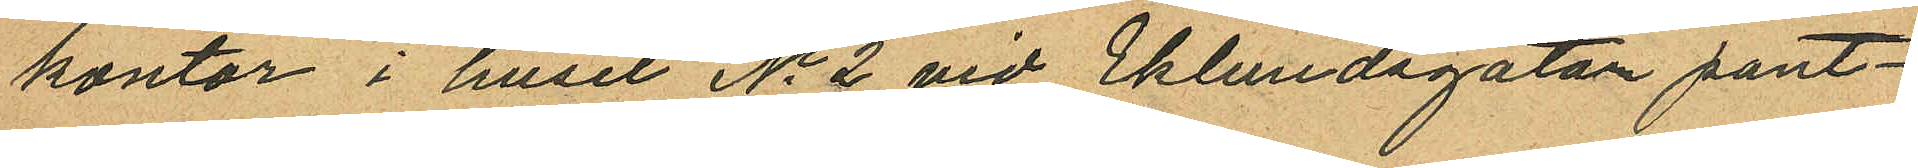kontor i huset No 2 vid Eklundsgatan pant¬
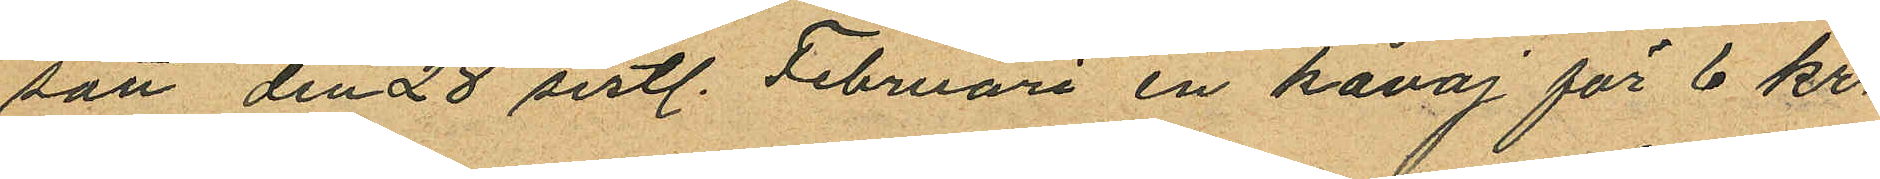satt den 28 sistl. Februari en kavaj för 6 kr.
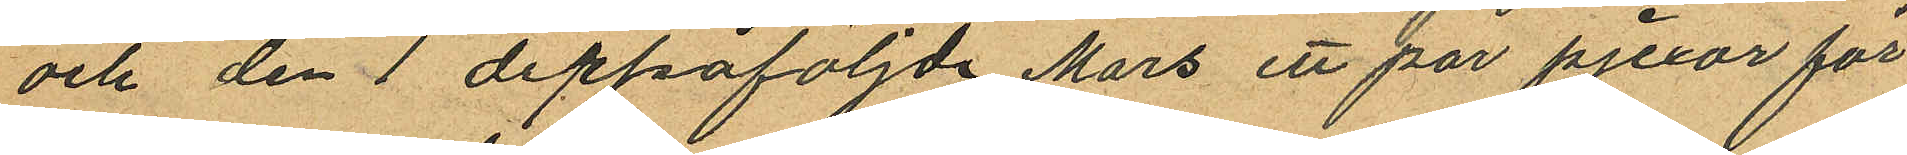och den 1 derpåföljde Mars ett par pjexor för
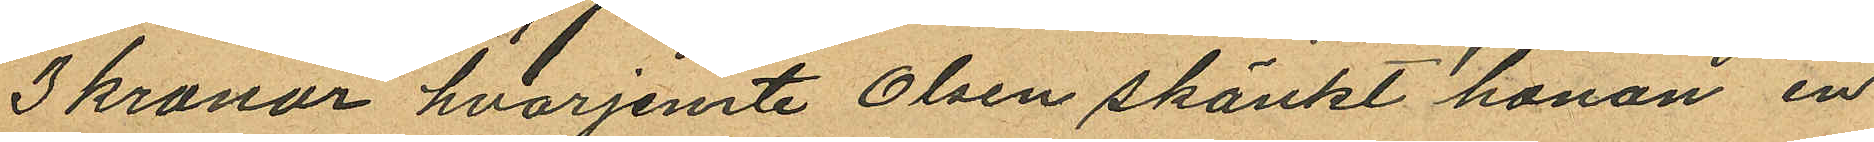3 kronor hvarjemte Olsen skänkt honon en
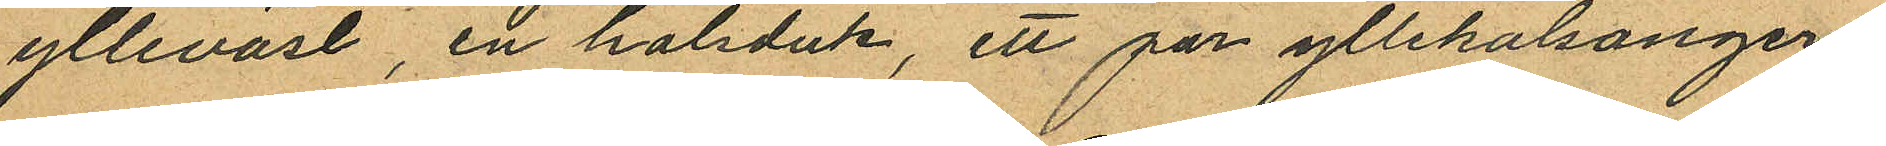ylleväst, en halsduk, ett par yllekalsonger,
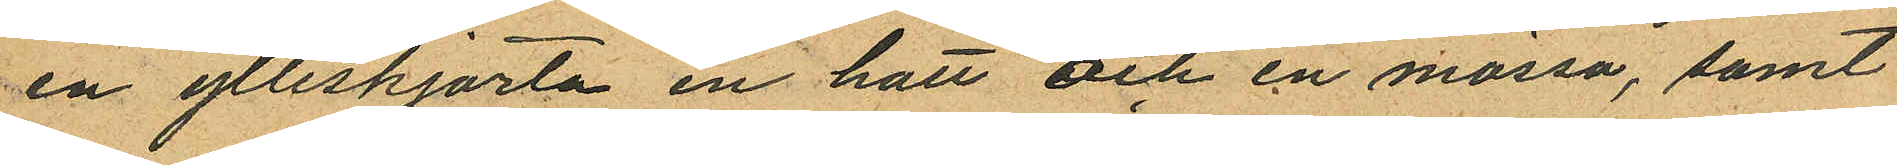en ylleskjorta en hatt och en mössa, samt
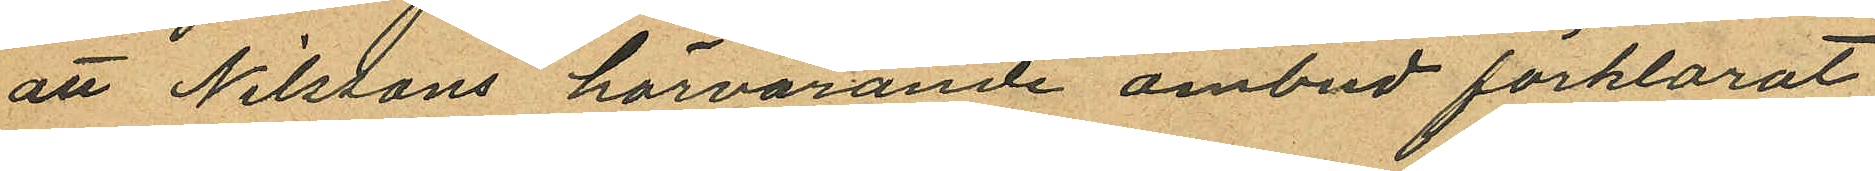att Nilstons härvarande ombud förklarat
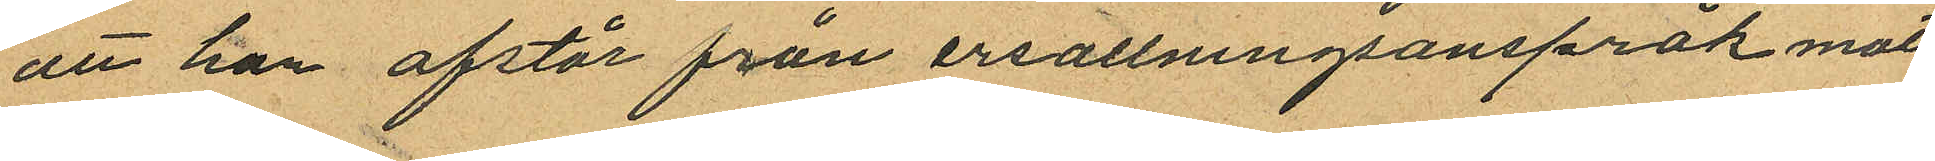att han afstår från ersattningsanspråk mot
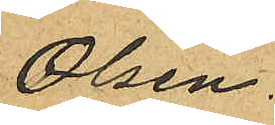Olsen.
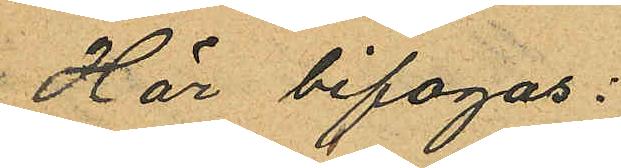Här bifogas:
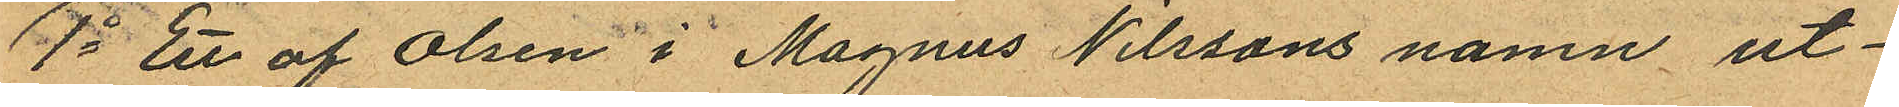1o Ett af Olsen i Magnus Nilssons namn ut¬
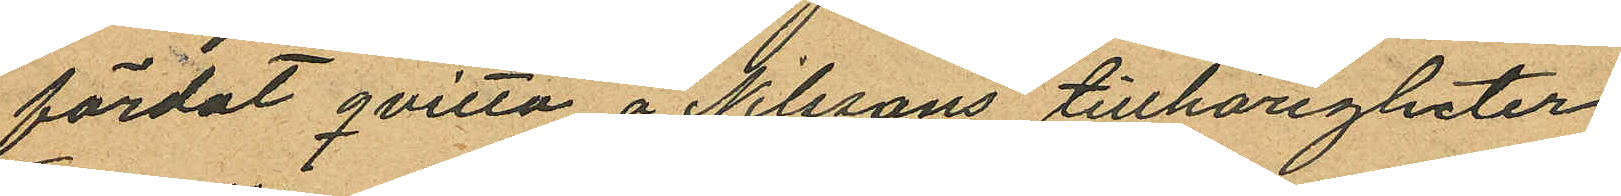färdat qvitto å Nilssons tillhörigheter.
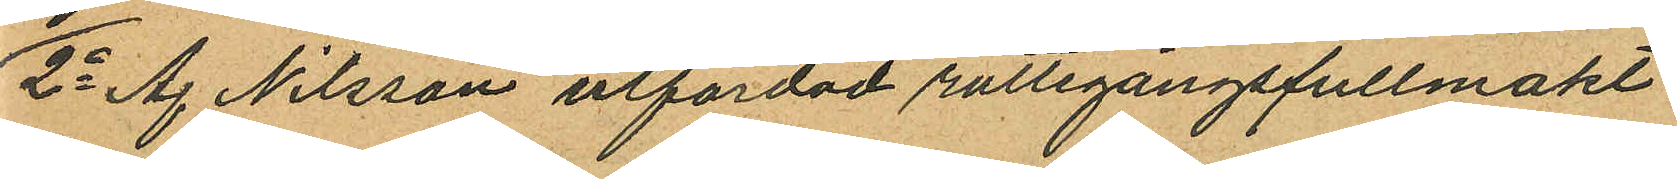2o Af Nilsson utfärdad rattegångsfullmakt
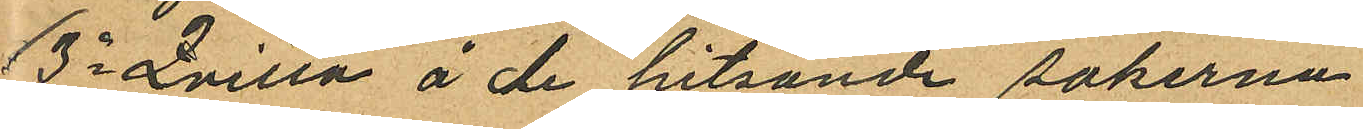3o Qvitto å de hitsände sakerna.
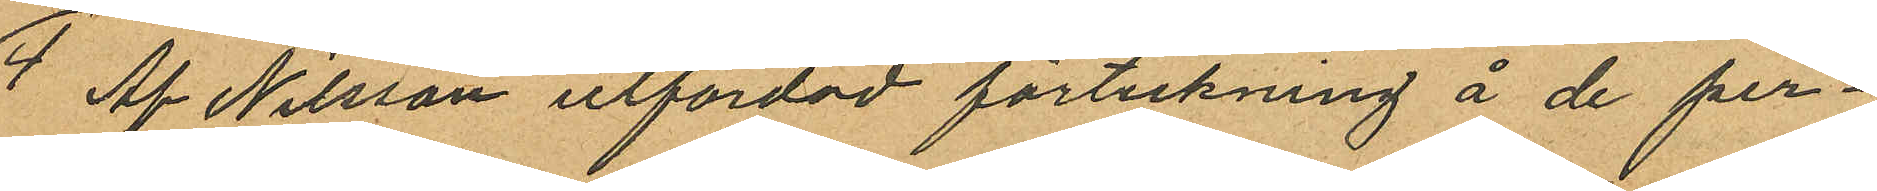4 Af Nilsson utfärdad förteckning å de per¬
